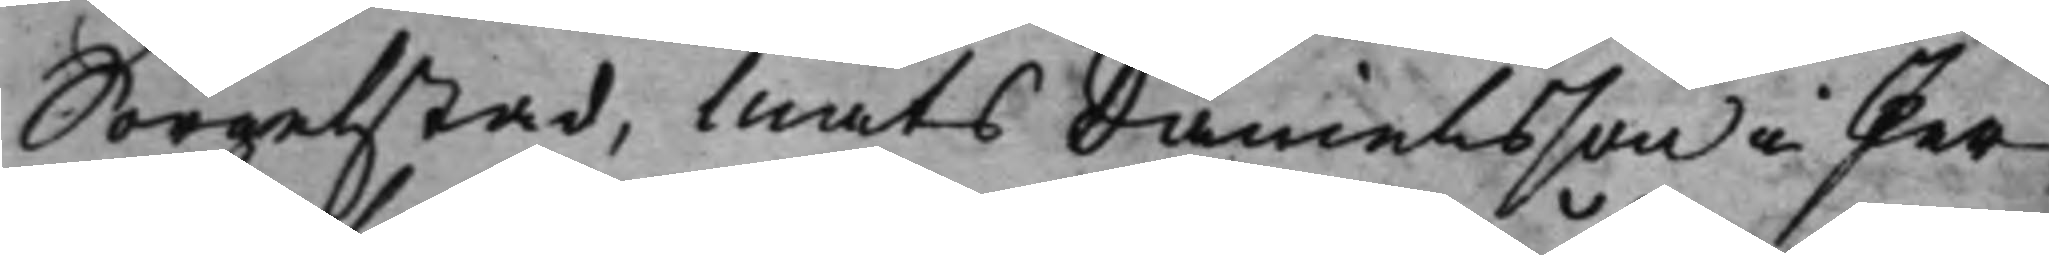Sörgelstad, Mats Danielsson i Per¬
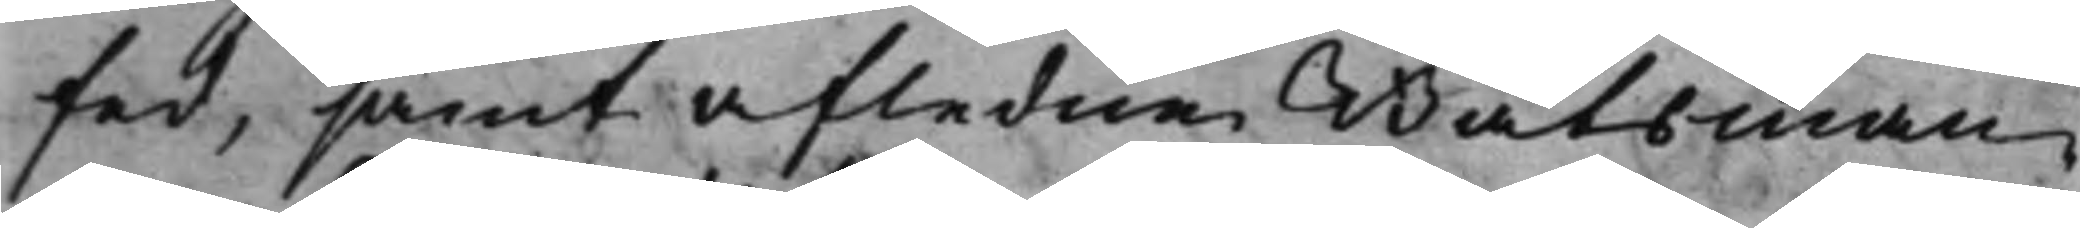fed, samt afledne Båtsman¬
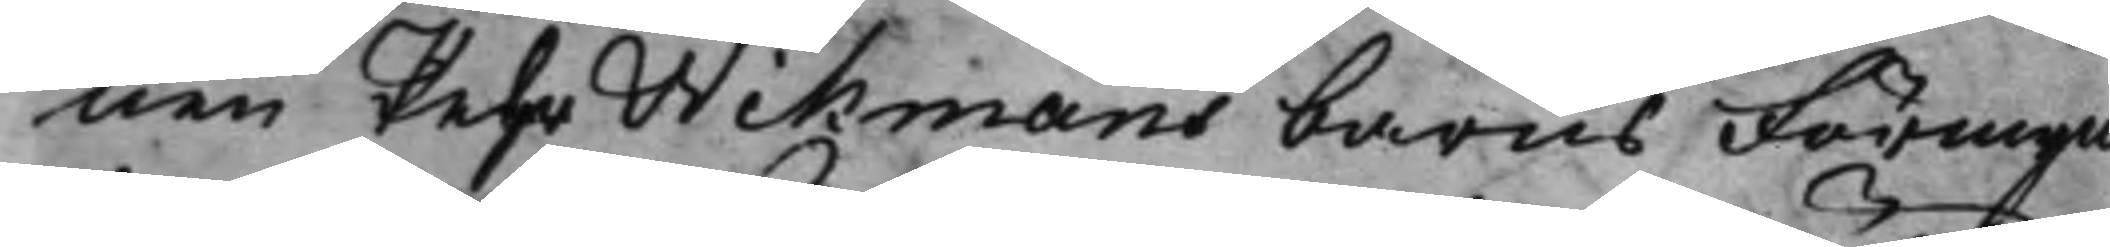nen Pehr Wikmans barns Förmyn¬
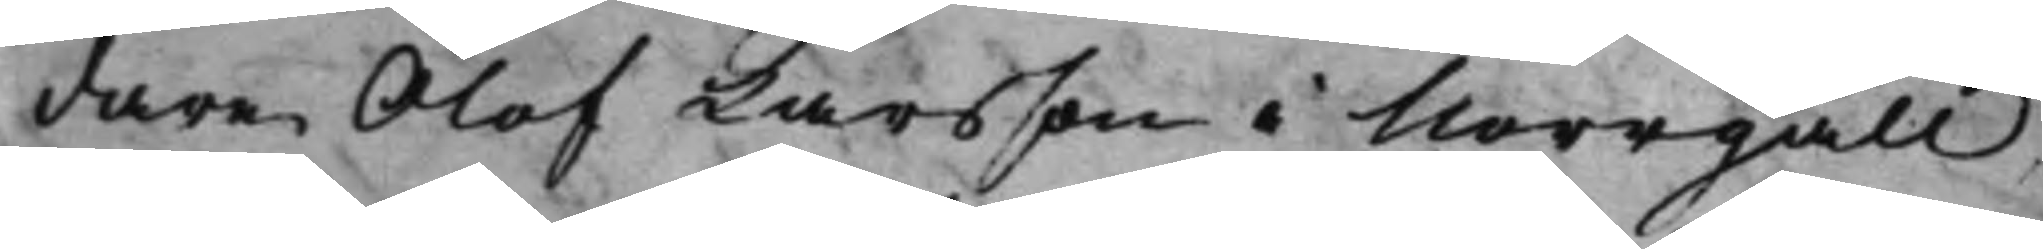dare Olof Larsson i Norrgäll,
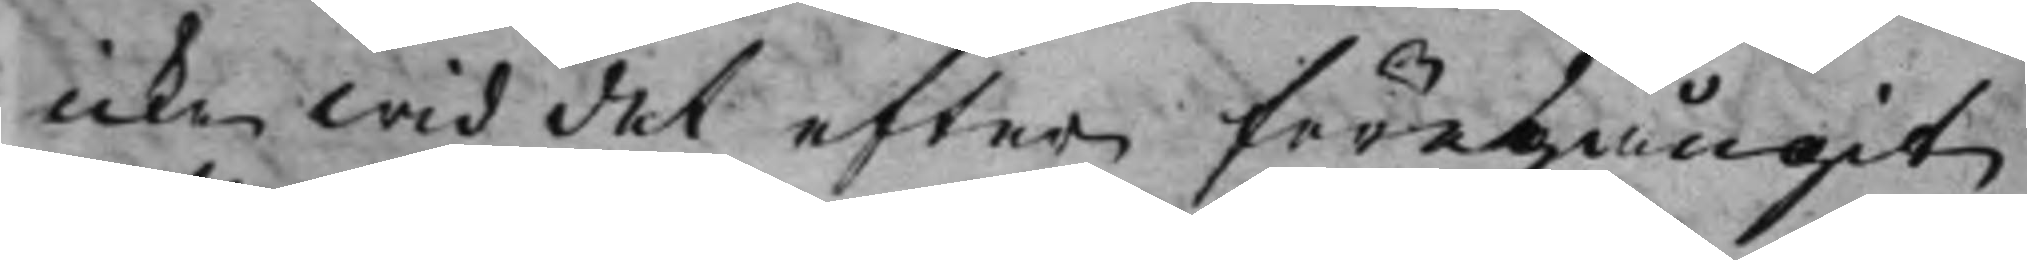icke wid det efter föregångit
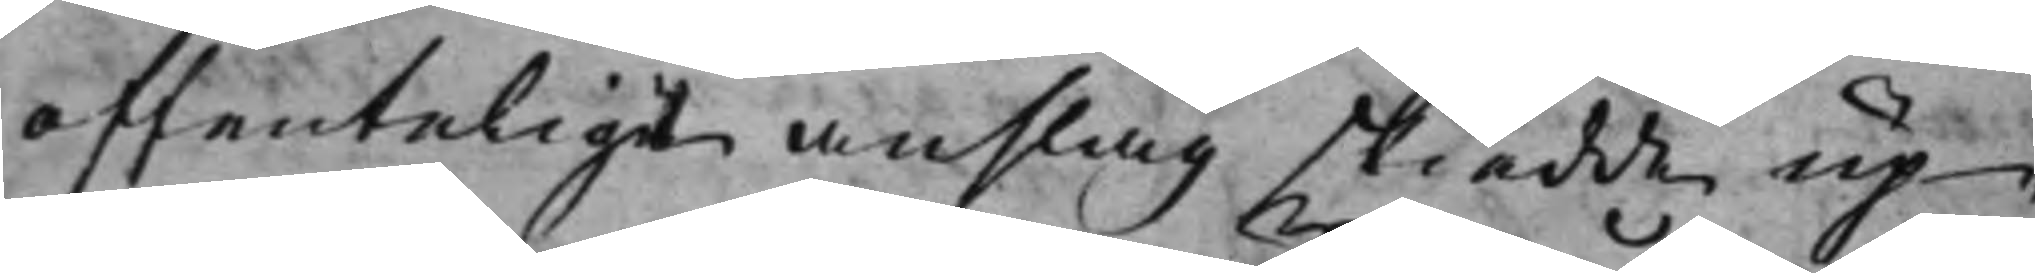offentelige anslag skiedde up¬
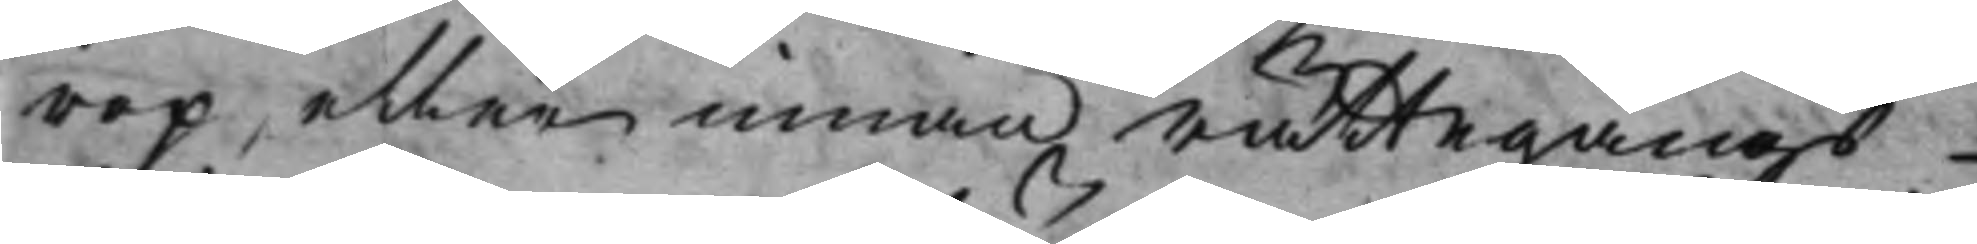rop, eller innan rättegångs¬
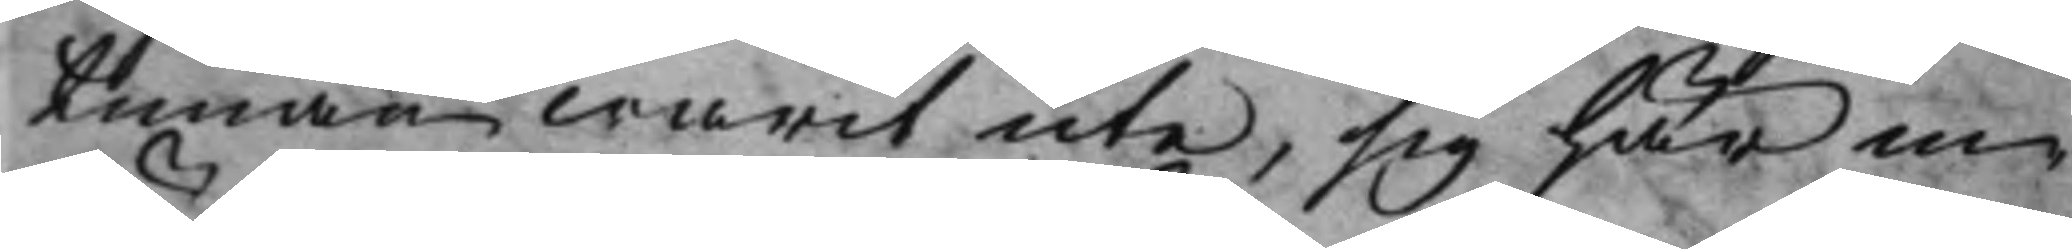timan warit ute, sig här in¬
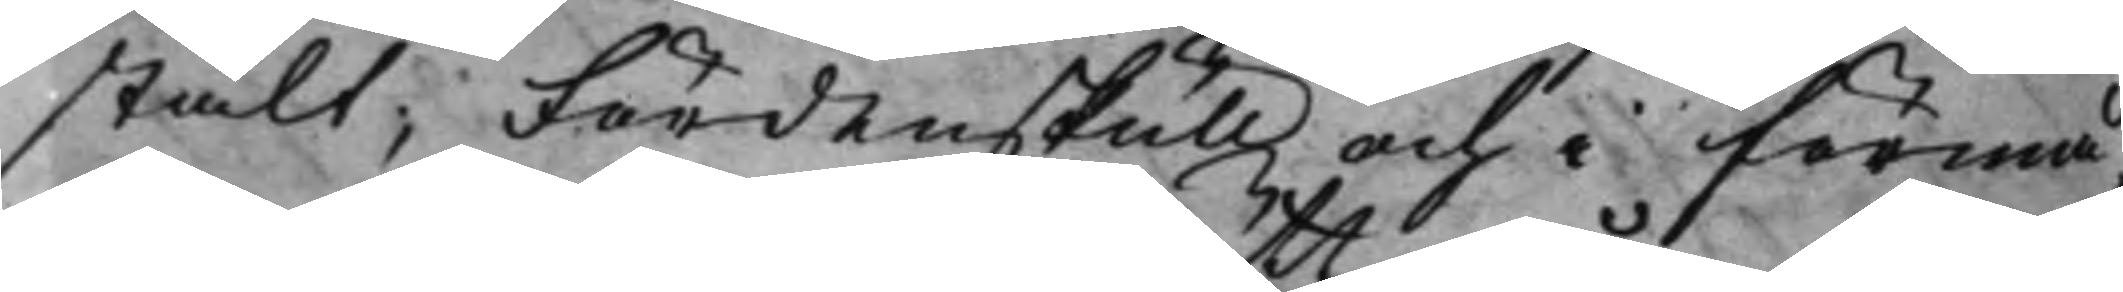stält; Fördenskull och i förmå¬
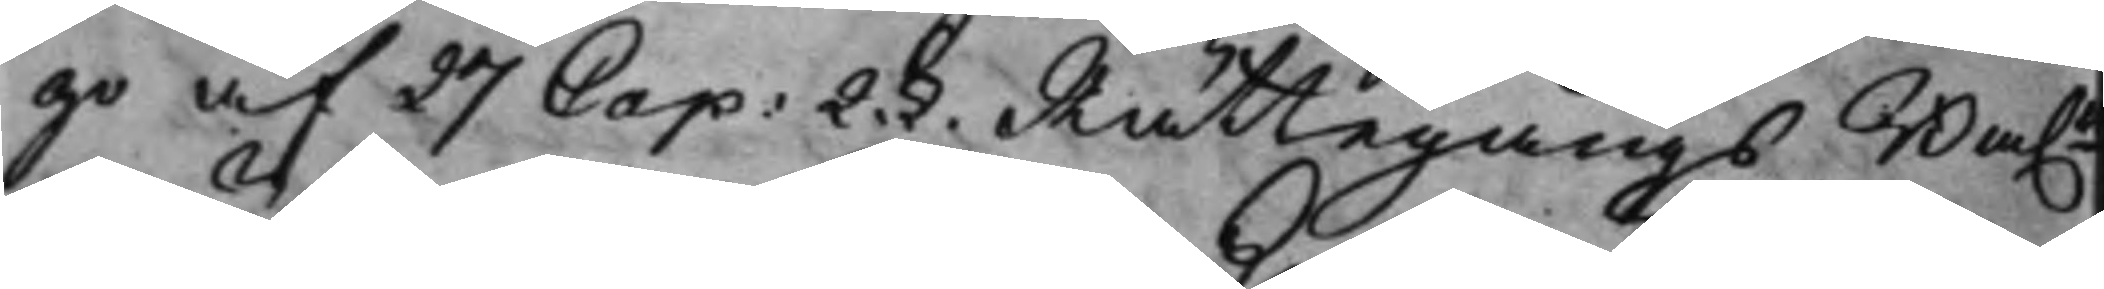go af 29 Cap: 2.§. Rättegångs Ba.n 
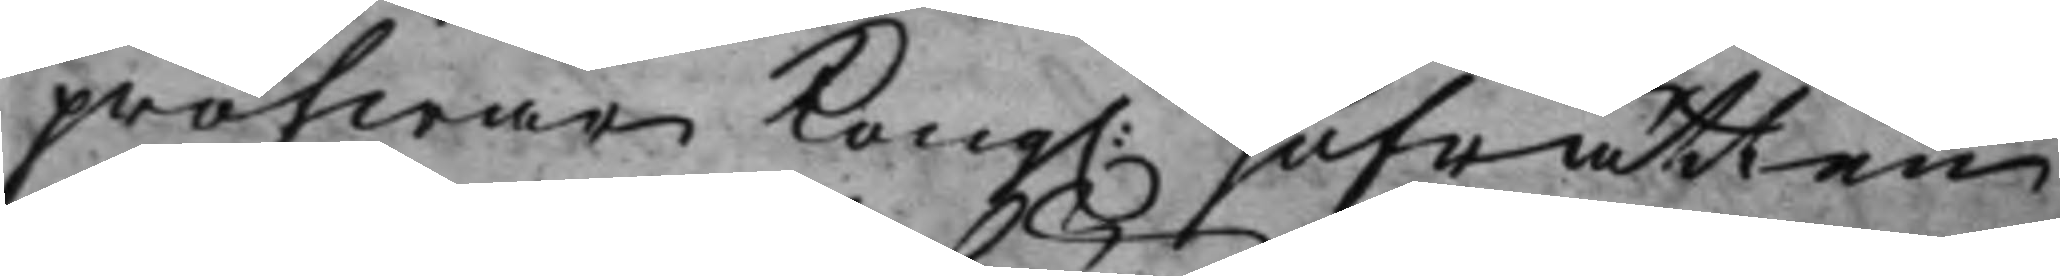pröfwar Kong.  Hofrätten
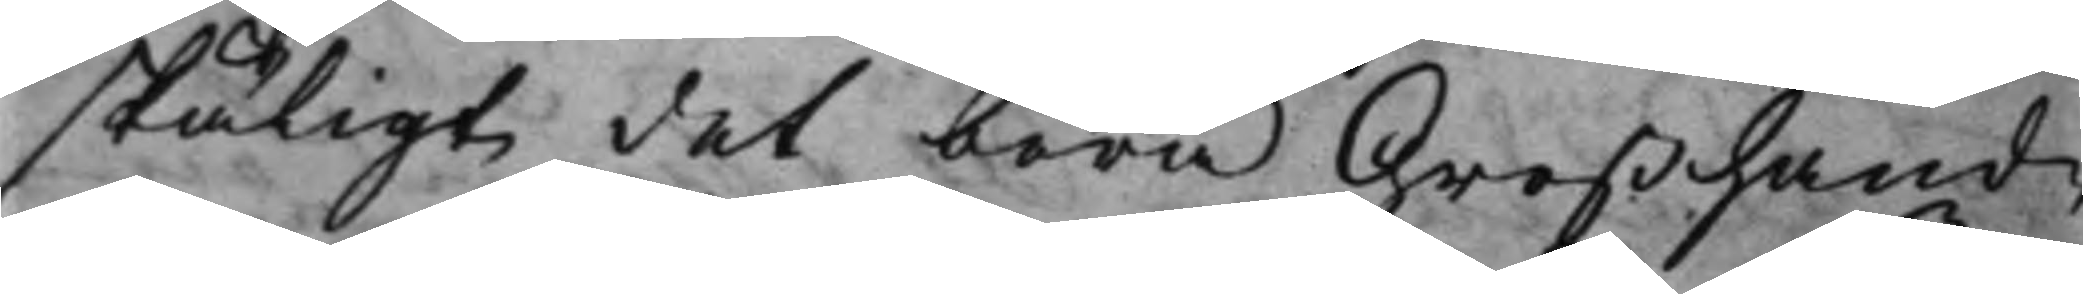skäligt det böra Großhand¬
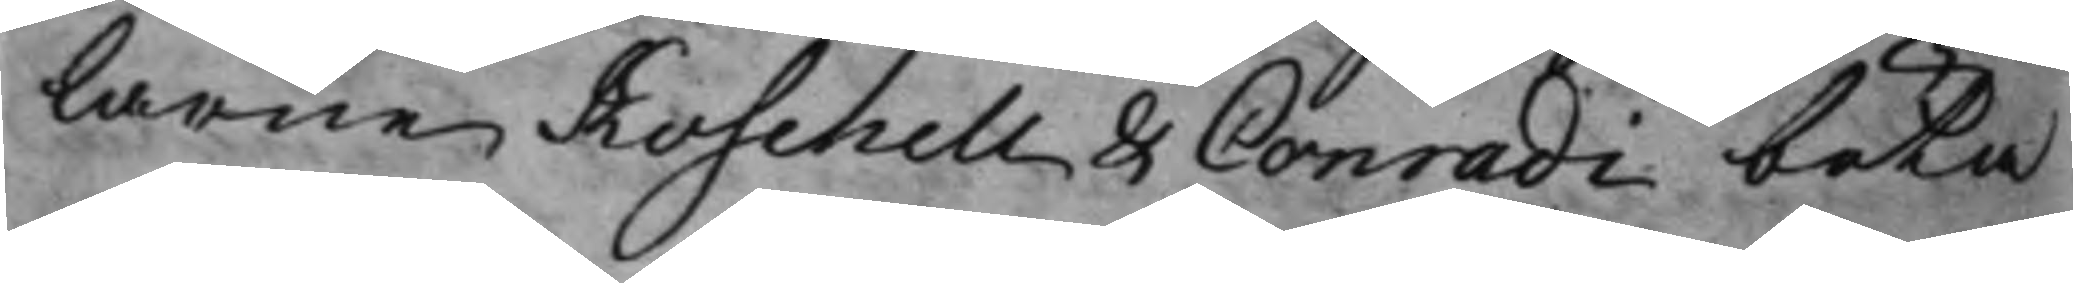larne Koschell & Conradi böta
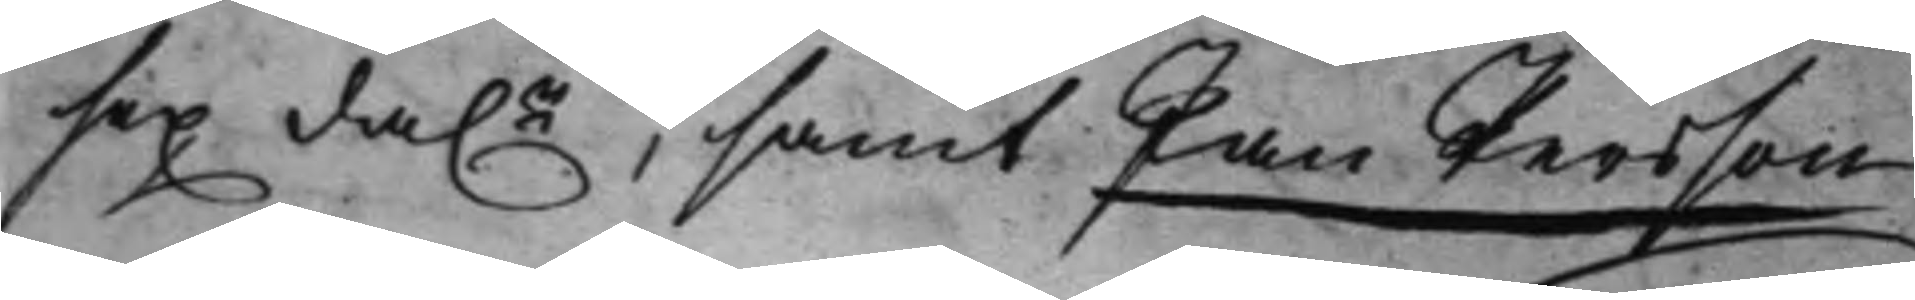sex da.r, samt Jan Persson 
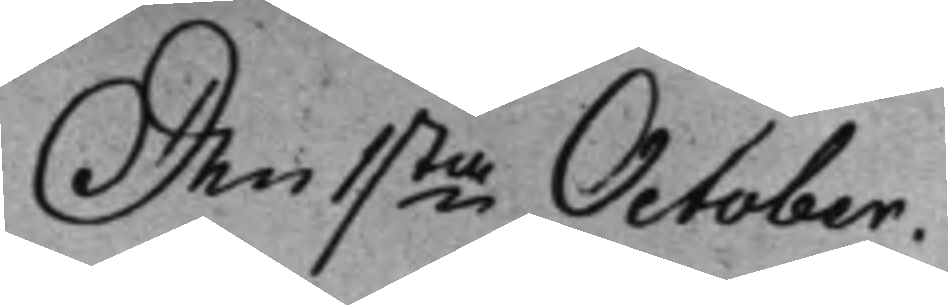Den 1sta October. 
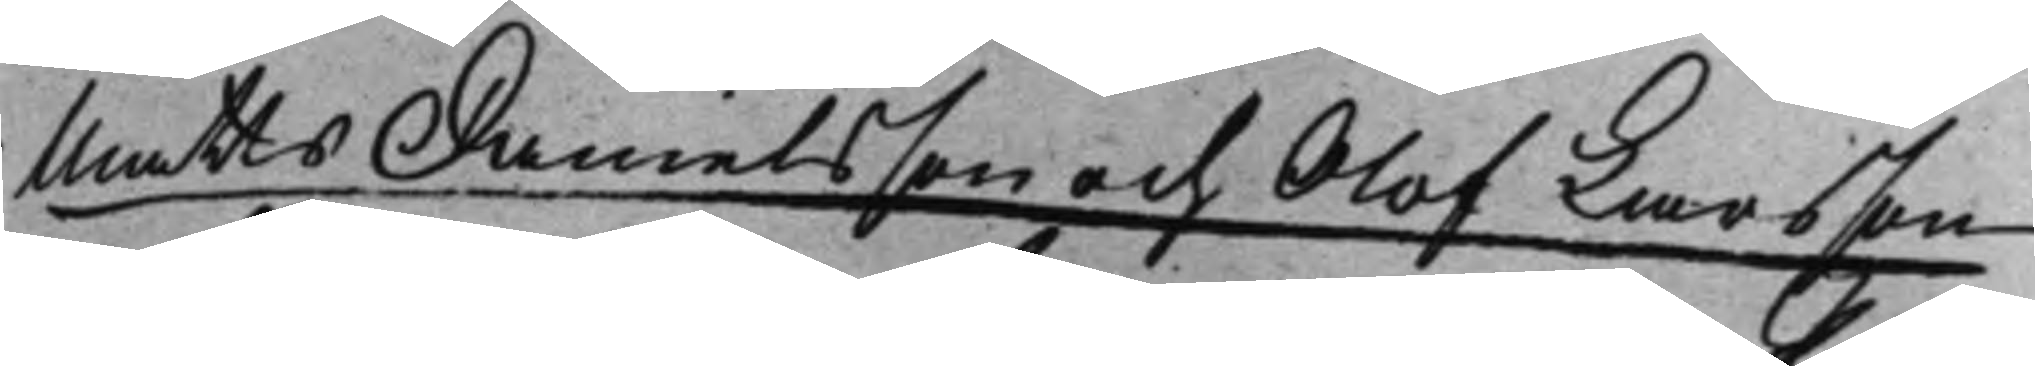Matts Danielsson och Olof Larsson
